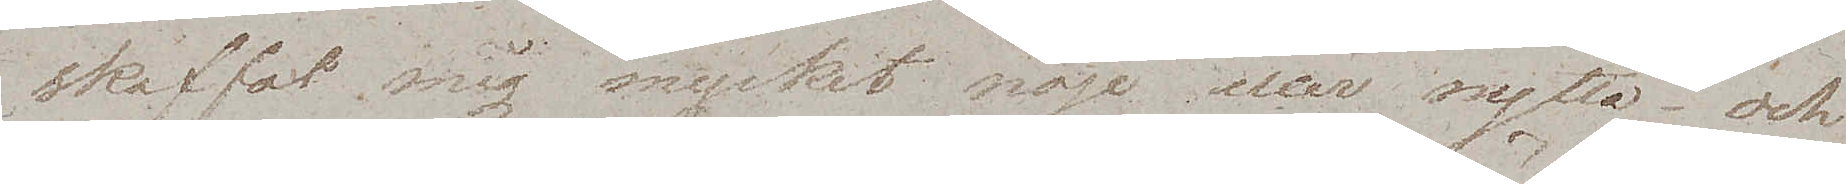skaffat mig mycket nöje eller nytta – och
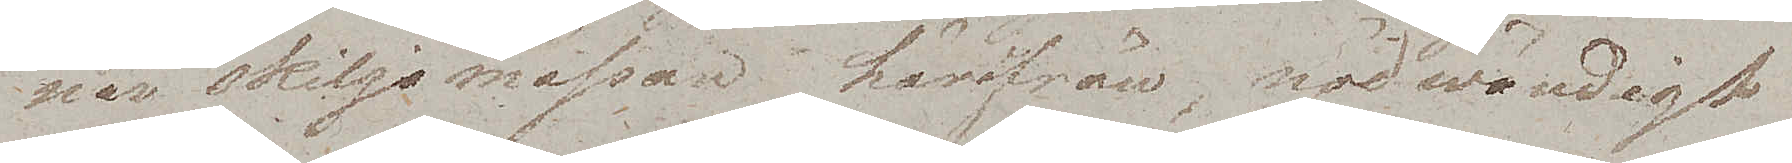när skiljsmässan härifrån, nödwändigt
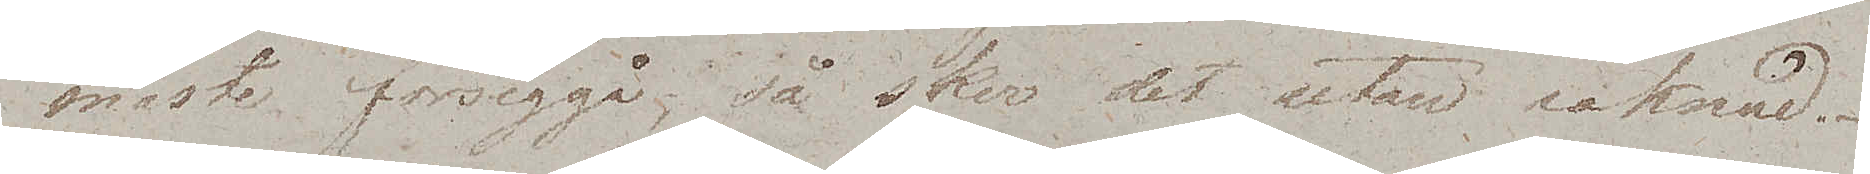måste försiggå, så sker det utan saknad.
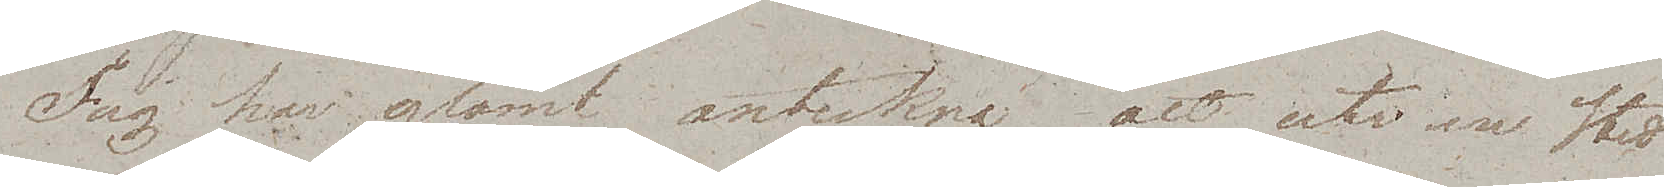Jag har glömt anteckna att uti en Stad
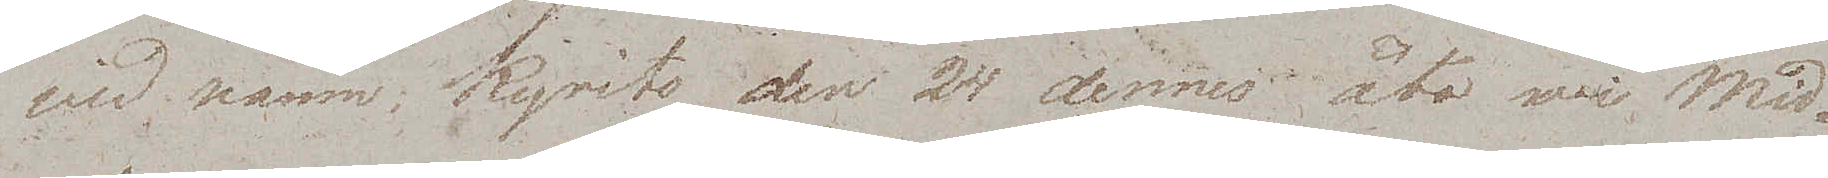wid namn Kyrits den 24 dennes åto wi Mid¬
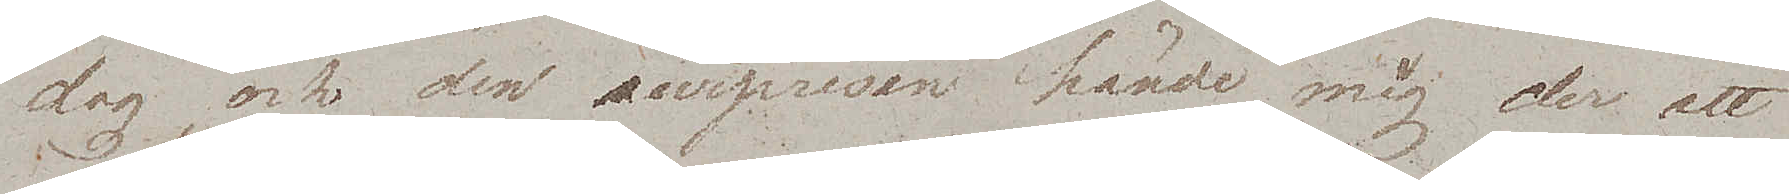dag, och den surprisen hände mig der att
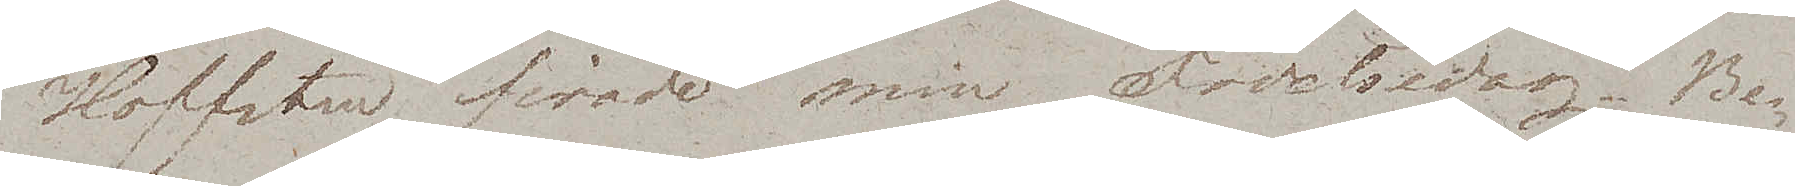Hoffsten firade min Födelsedag. Be¬
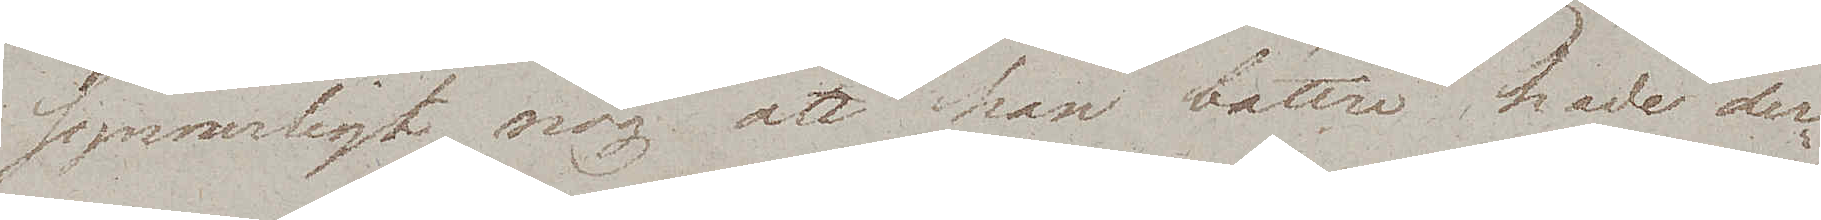synnerligt nog att han bättre hade der¬
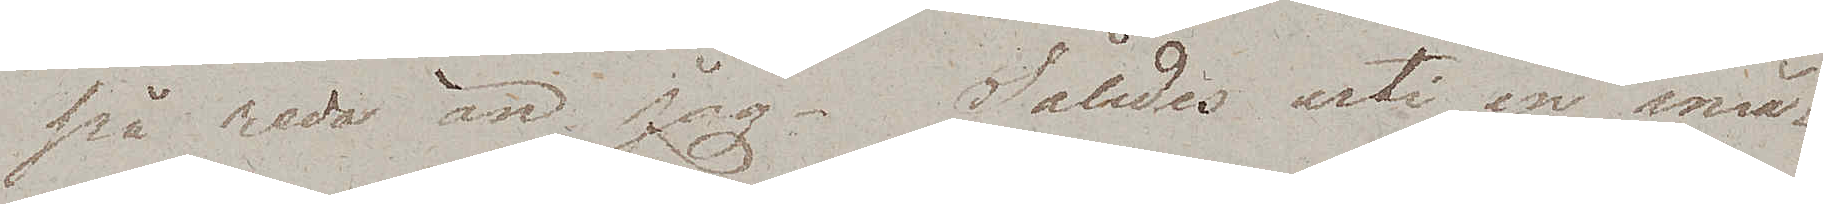på reda än jag. Således uti en små¬
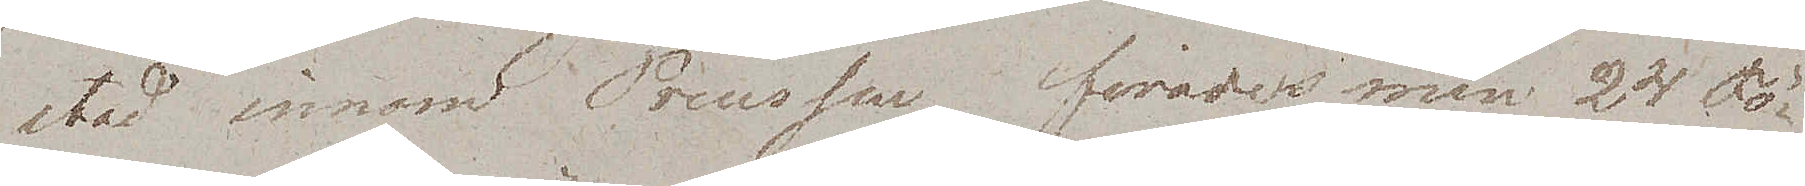stad innom Preussen firades min 24 Fö¬
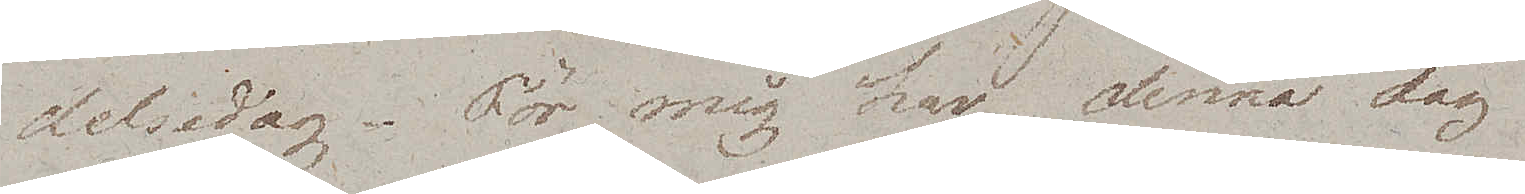delsedag. För mig har denna dag
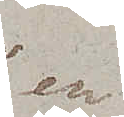en
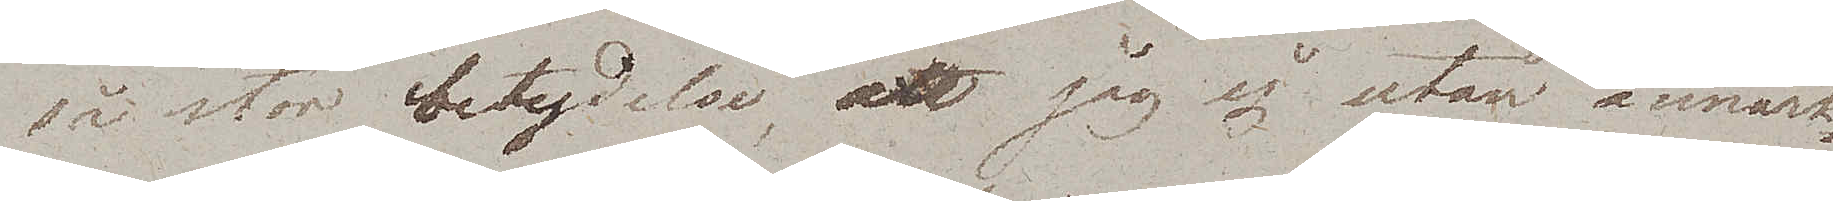så stor betydelse, att jag ej utan anmärk¬
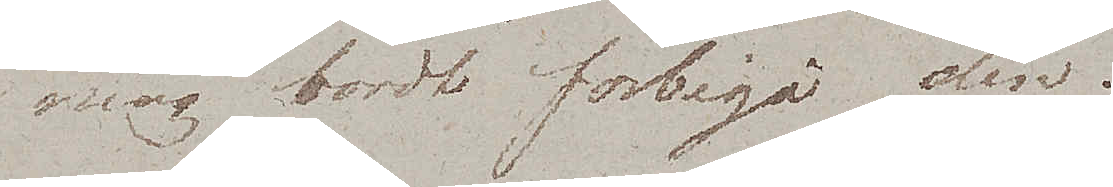ning bordt förbigå den.
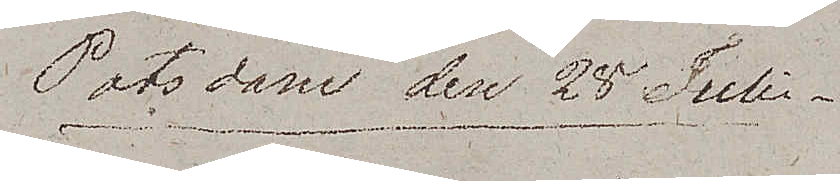Potsdam den 28 Juli
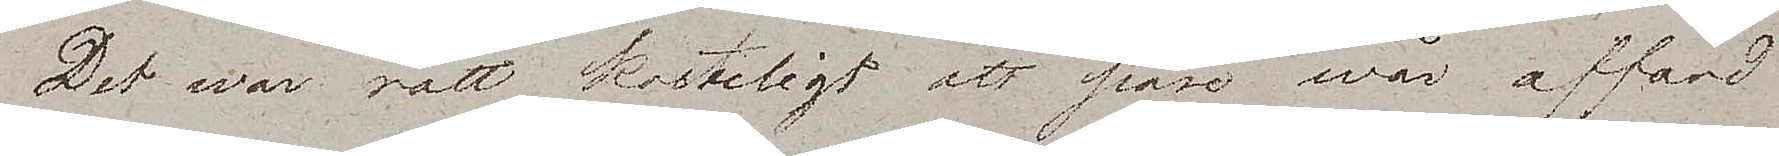Det war rätt kosteligt att påse wår affärd
